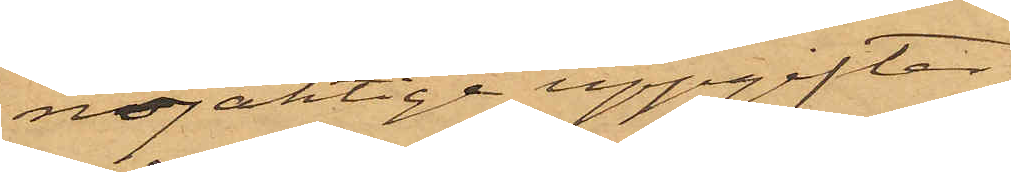nöjaktige uppgifter.
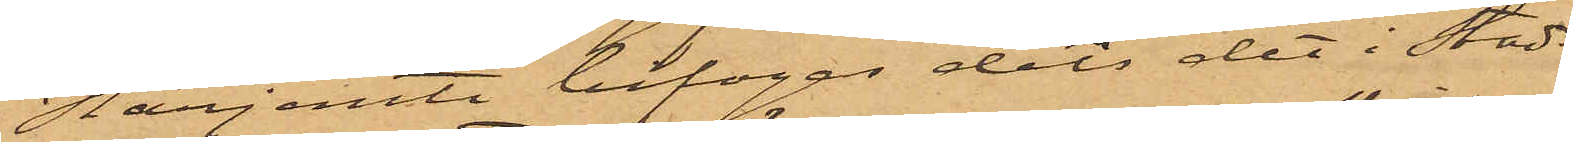Härjemte bifogas dels det i Stads¬
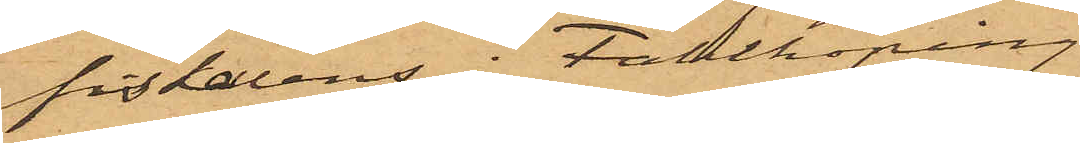fiskalens i Falköping
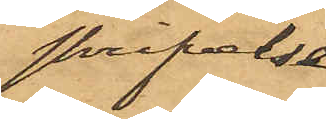skrifvelse
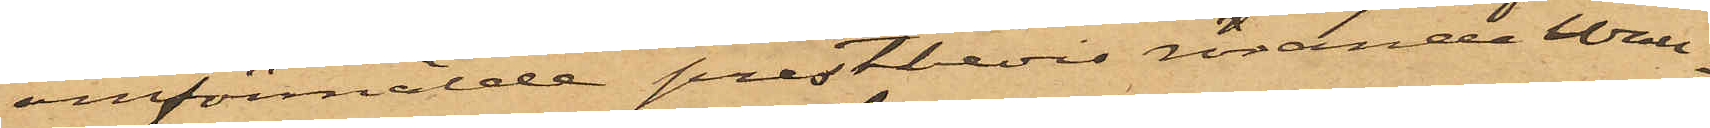omförmälde prestbevis rörande Wall¬
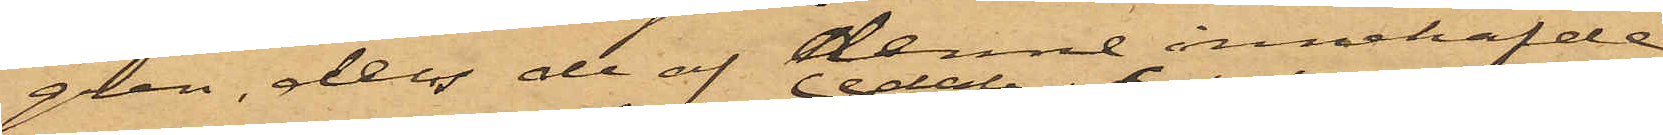gren, dels de af denne innehafde
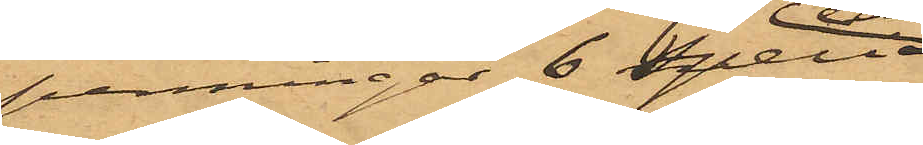penningar 6 specie¬
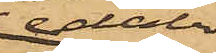daler
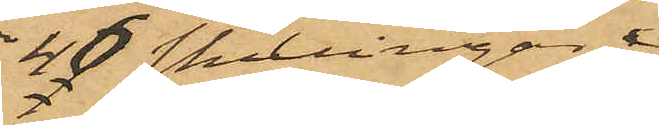40 skillingar
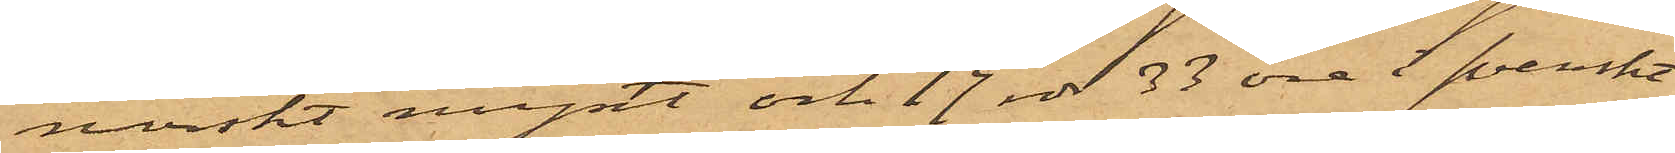norskt mynt och 17 rdr 33 öre i svenskt
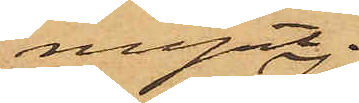mynt.
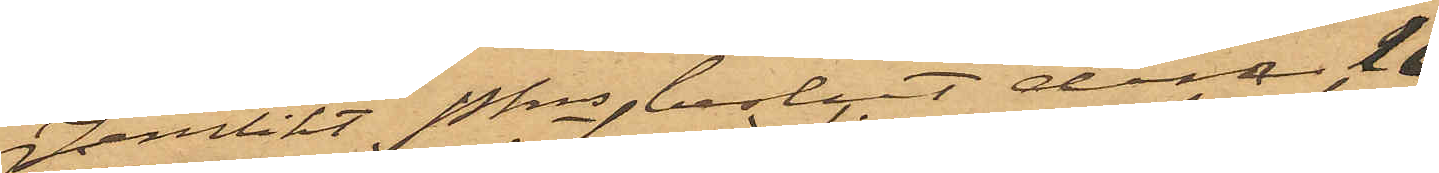Jemlikt Pkns beslut den 18
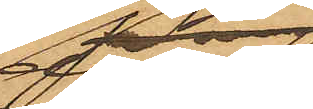dennes
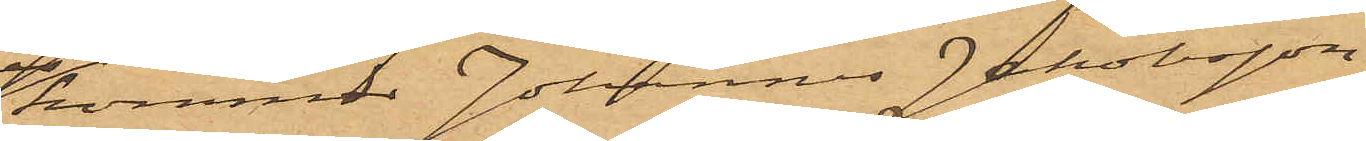kommer Johannes Jakobsson,
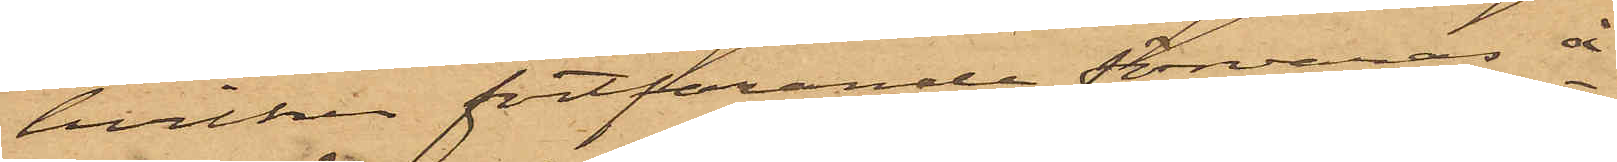hvilken fortfarande förvaras å
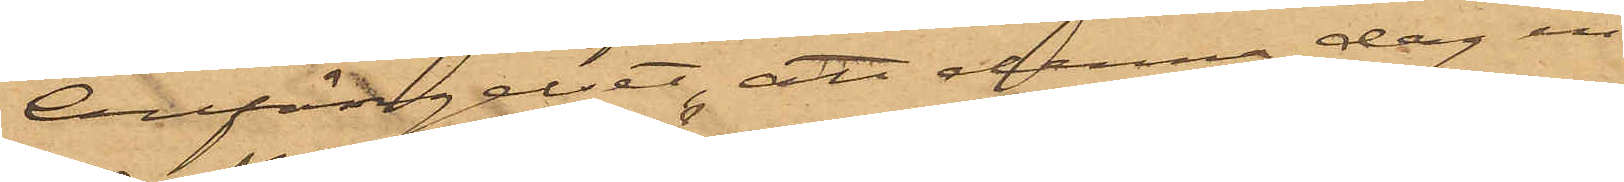Cellfängelset, att denna dag in¬
